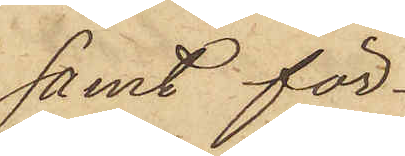samt för¬
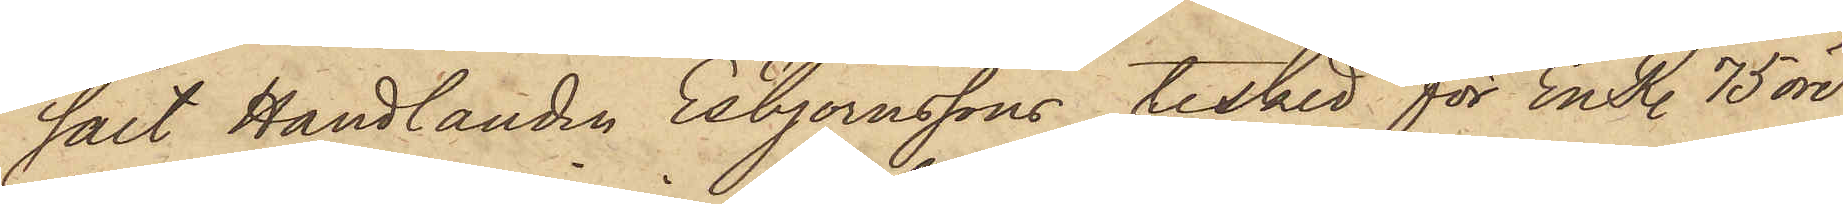sålt Handlanden Esbjörnssons tesked för En R. 75 öre
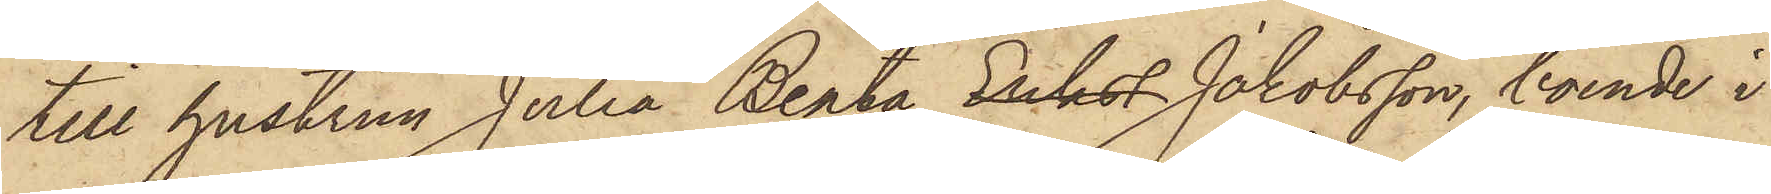till hustrun Julia Beata Erikss Jakobsson, boende i
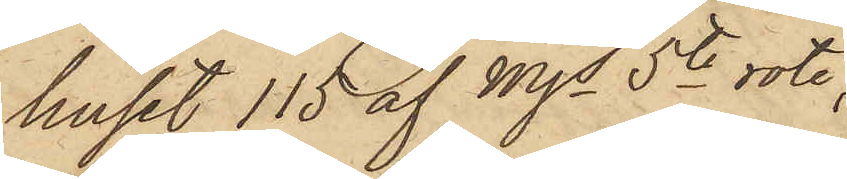huset 115 af Mjs 5te rote;
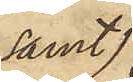samt
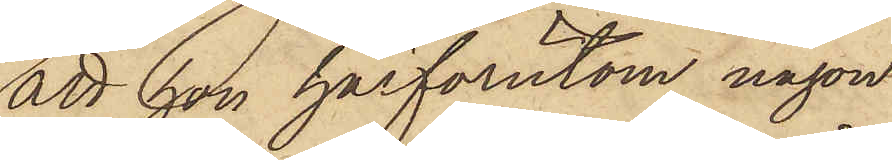att hon härförutom någon
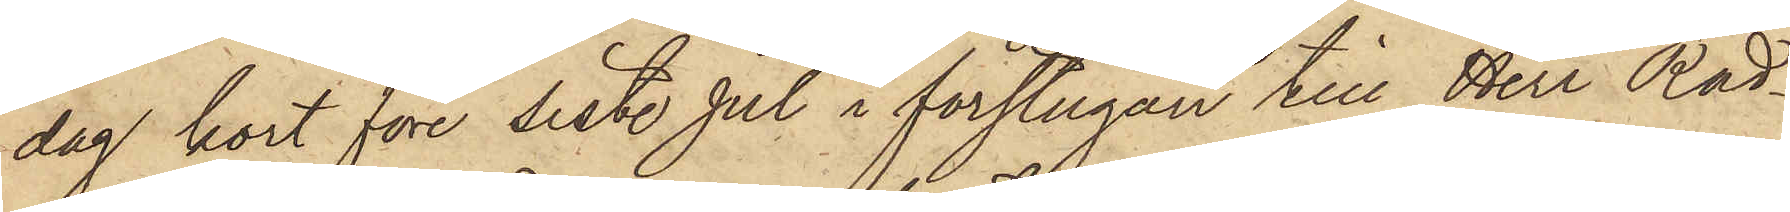dag kort före sist. Jul i förstugan till Herr Råd¬
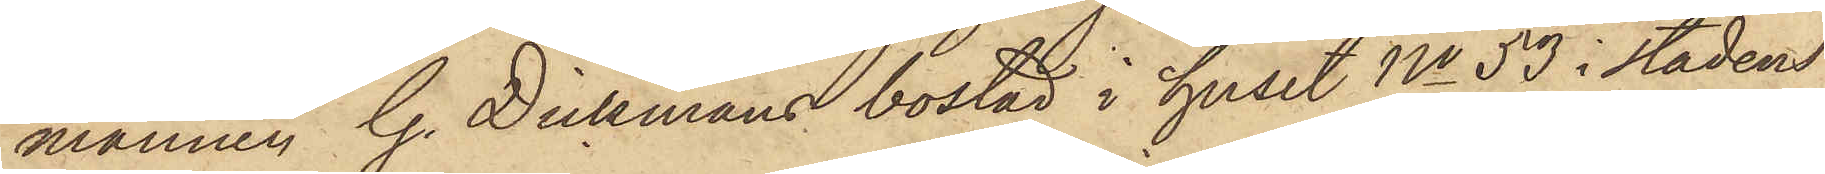mannen G. Dickmans bostad i huset No 53 i stadens
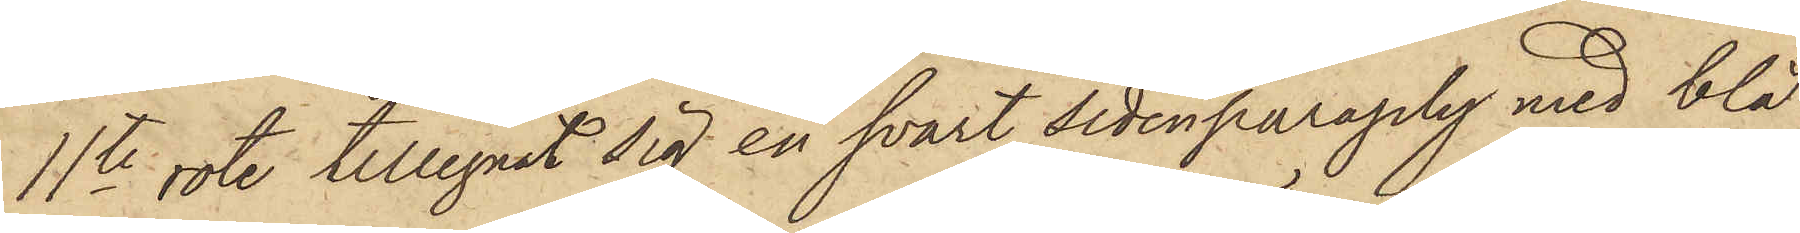11te rote tillegnat sig en svart sidenparaply med blå
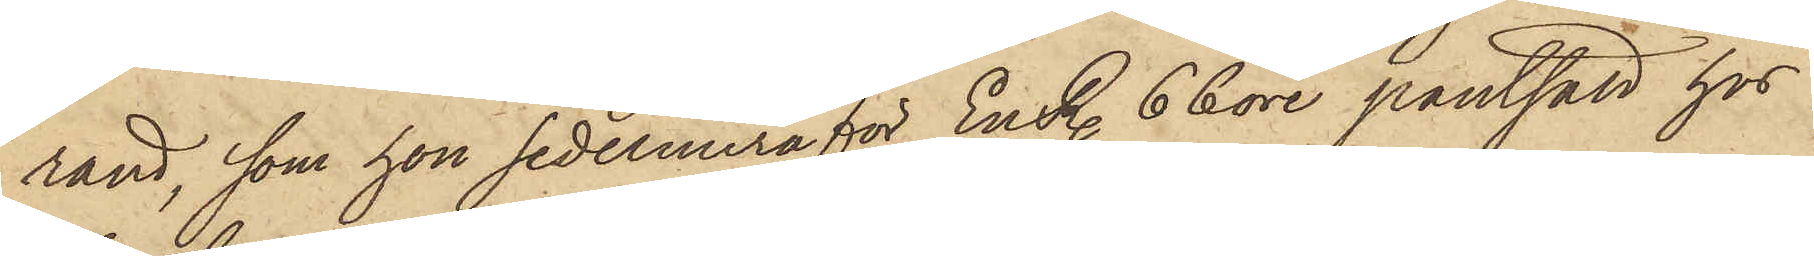rand, som hon sedermera för En R. 66 öre pantsatt hos
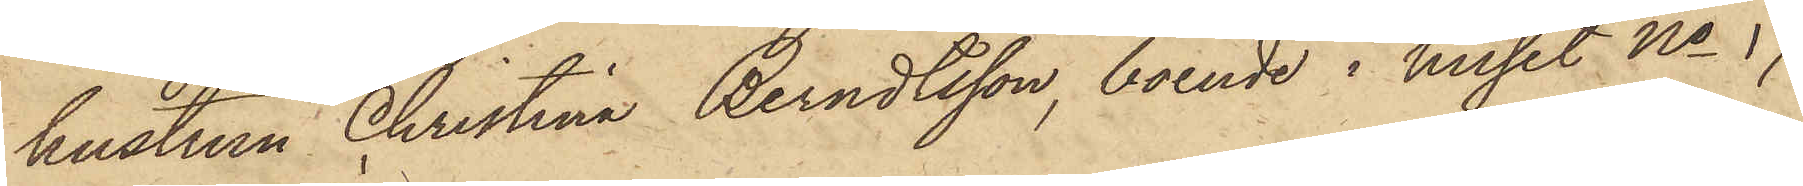hustrun Christina Berndtsson, boende i huset No 17
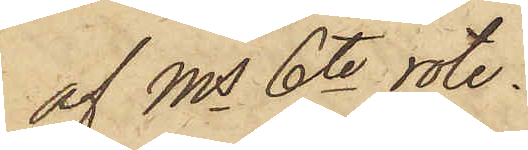af Ms 6te rote.
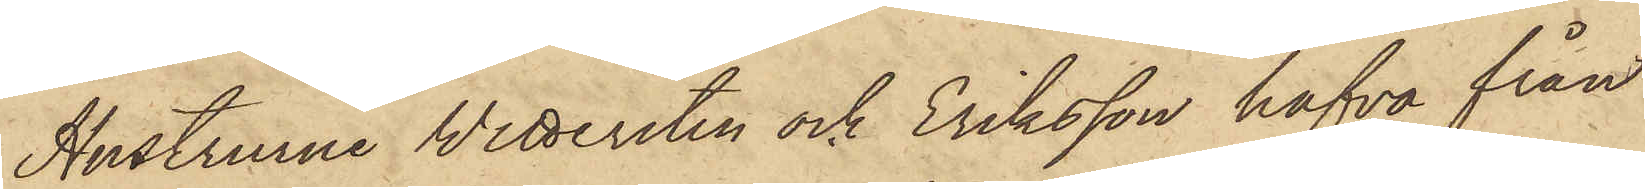Hustrurne Wettersten och Eriksson hafva från
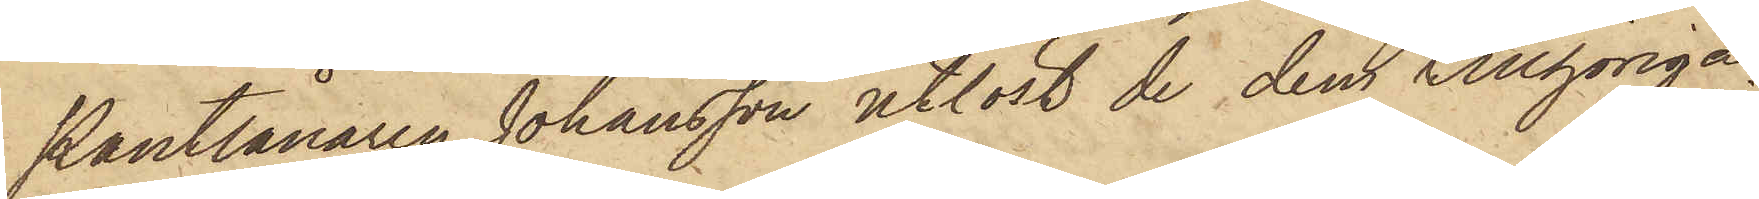Pantlånaren Johansson utlöst de dem tillhöriga
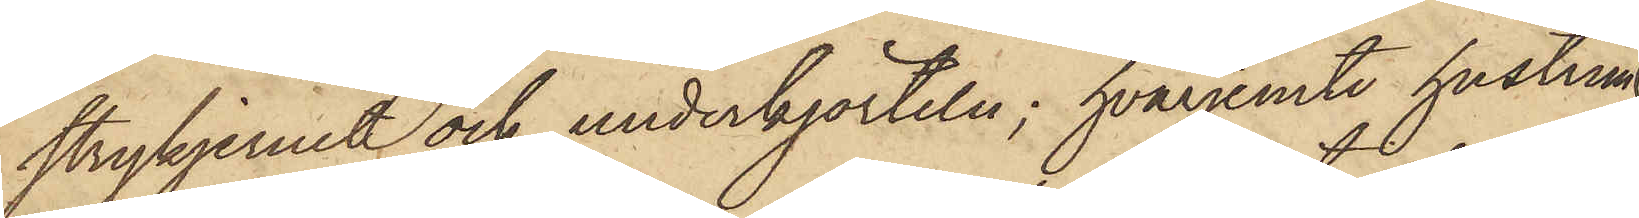strykjernet och underkjorteln; hvarjemte husrum
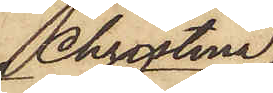Christina
